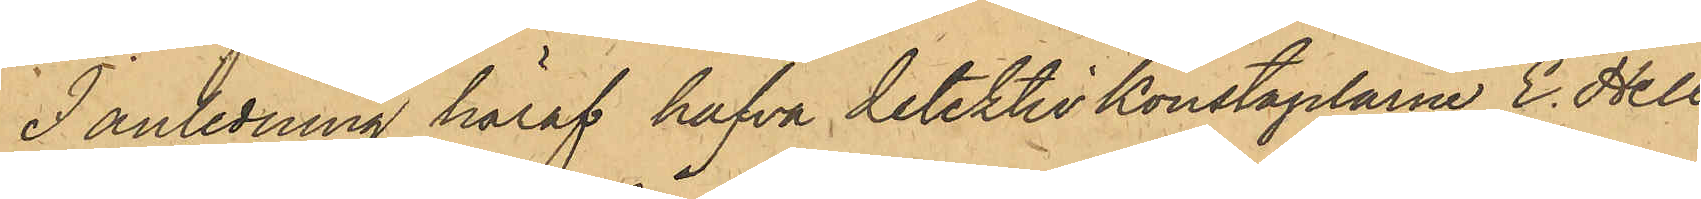I anledning häraf hafva detektivkonstaplarne E. Hell¬
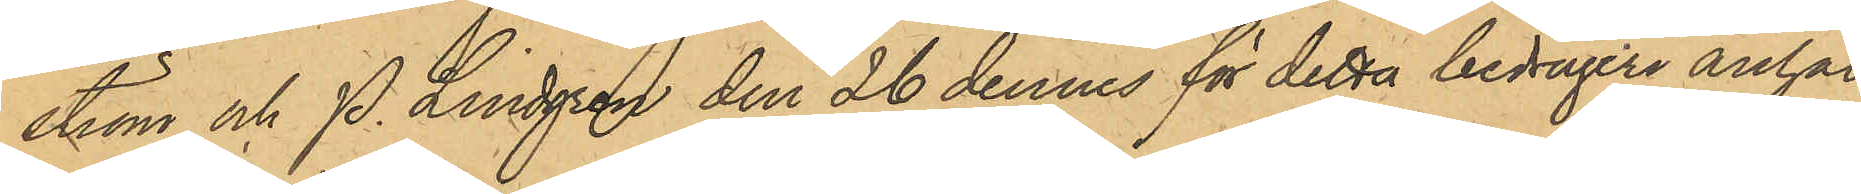ström och P. Lindgren den 26 dennes för detta bedrägeri anhål¬
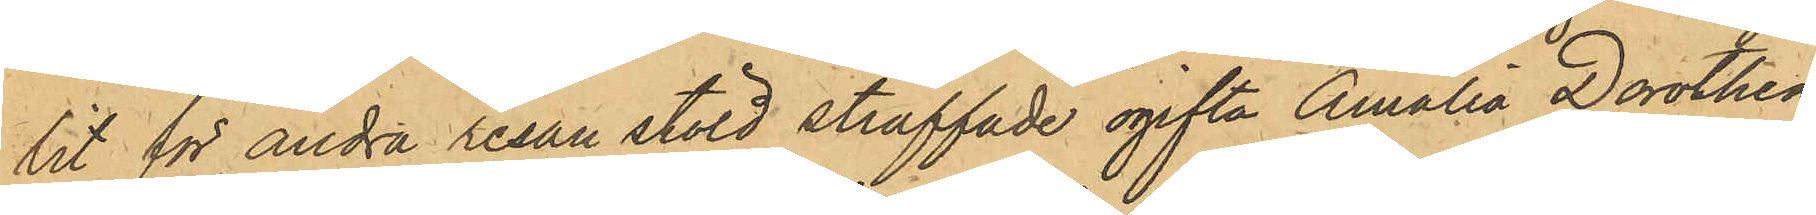tit för andra resan stöld straffade ogifta Amalia Dorothea
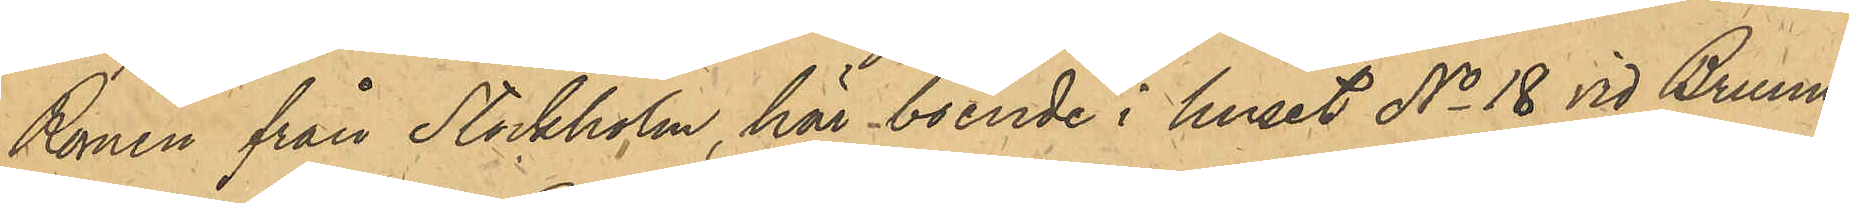Romén från Stockholm, här boende i huset No 18 vid Brunns¬
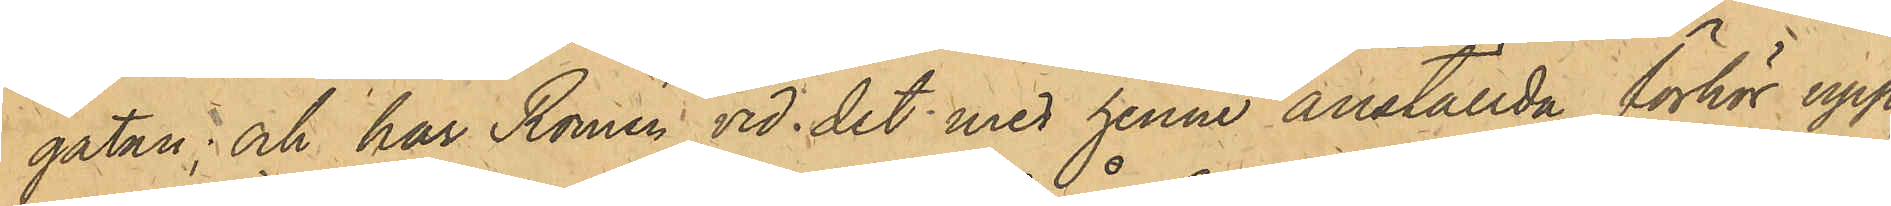gatan; och har Romén vid det med henne anställda förhör upp¬
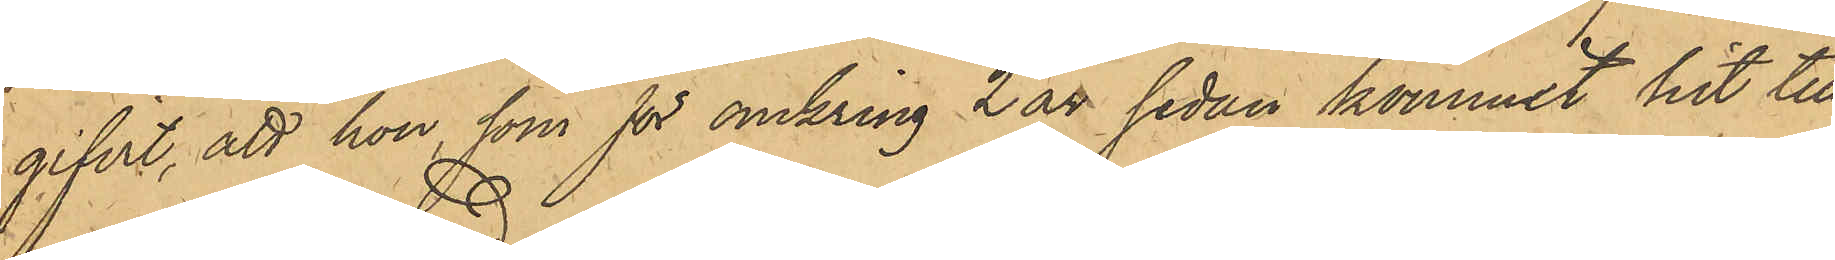gifvit, att hon, som för omkring 2 år sedan kommit hit till
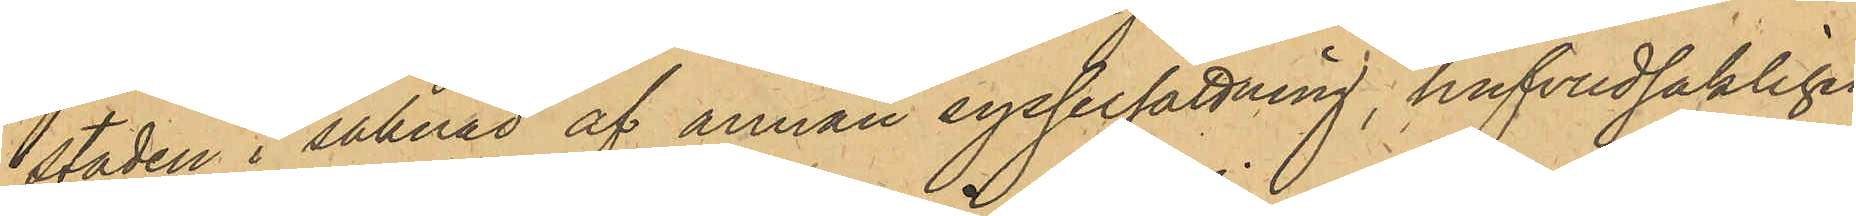staden i saknas af annan sysselsättning, hufvudsakligen
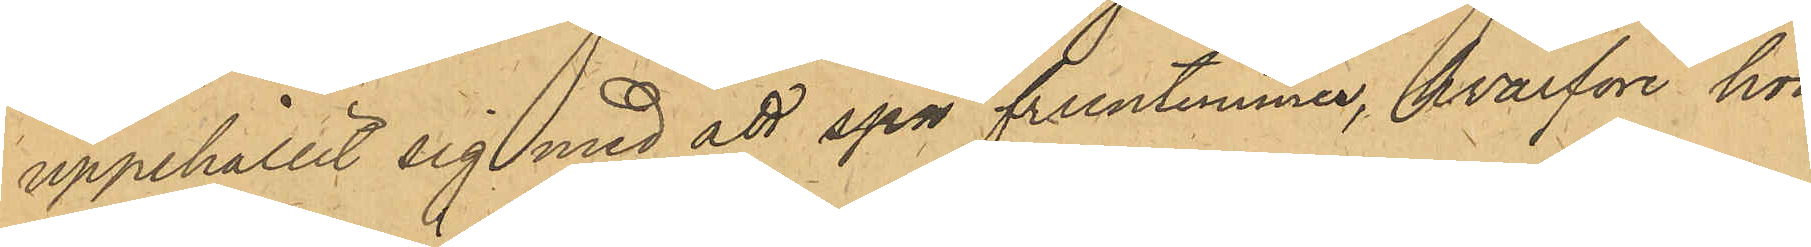uppehållit sig med att spå fruntimmer, hvarföre hon
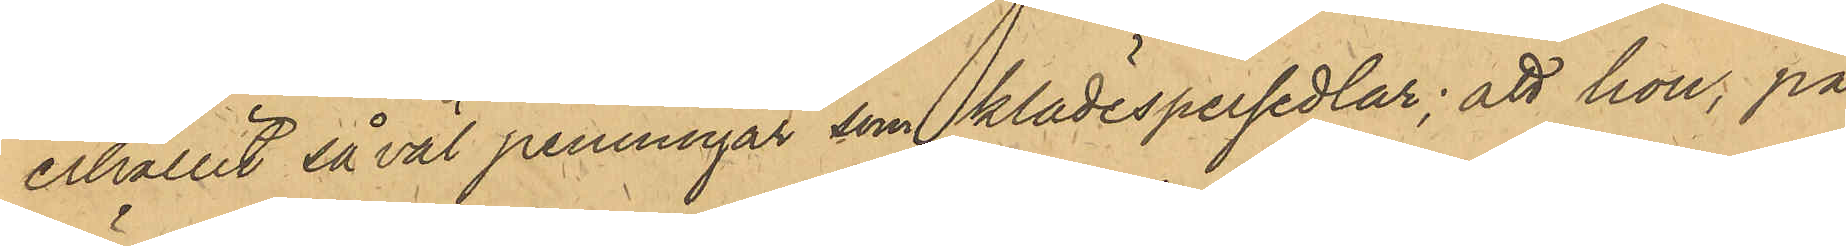erhållit så väl penningar som klädespersedlar; att hon, på
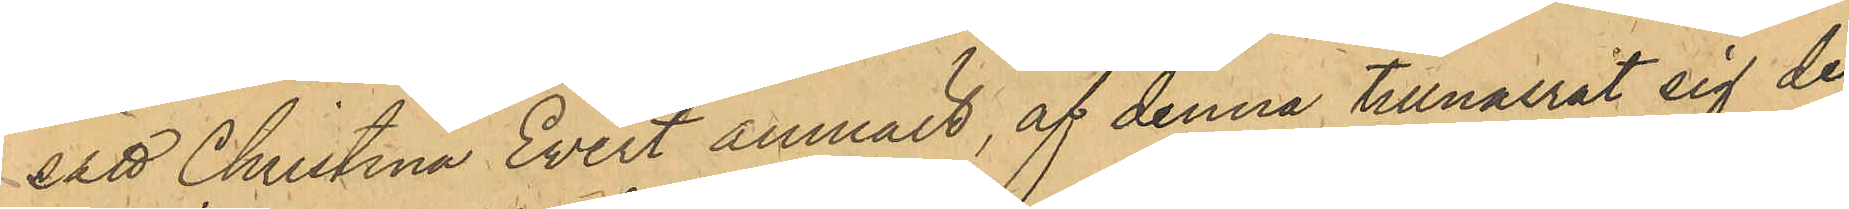sätt Christina Evert anmält, af denna tillnarrat sig de
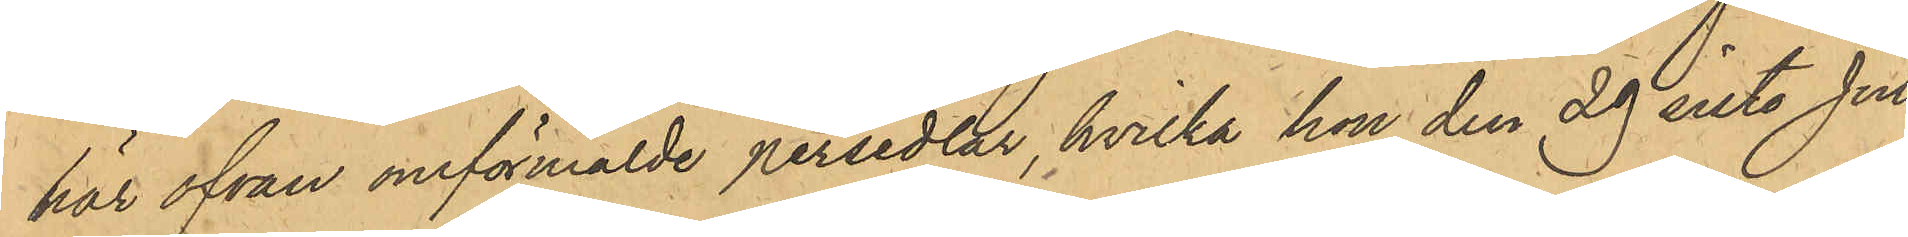här ofvan omförmälde persedlar, hvilka hon den 29 sist. Juli
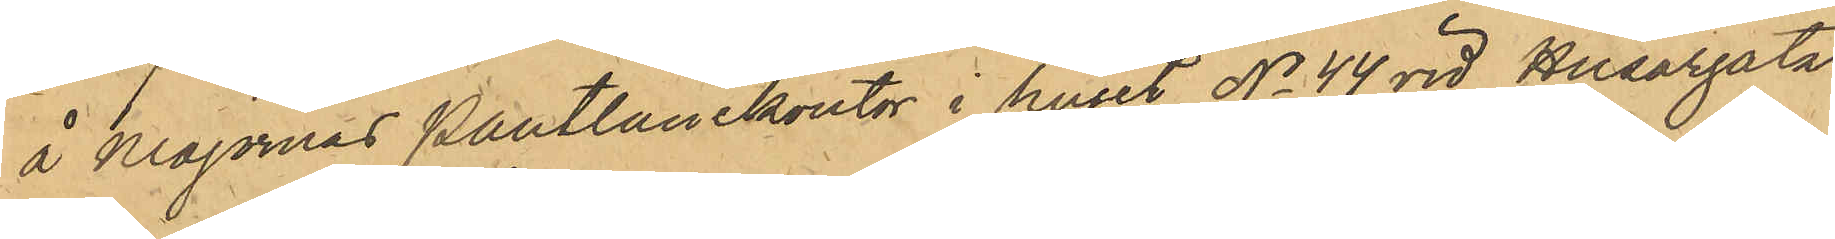å Majornas Pantlånekontor i huset No 44 vid Husargatan
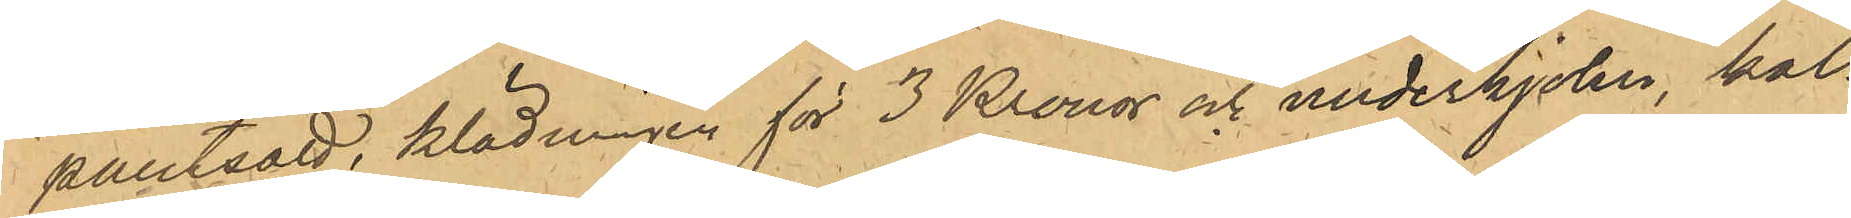pantsatt, klädningen för 3 Kronor och underkjolen, kal¬
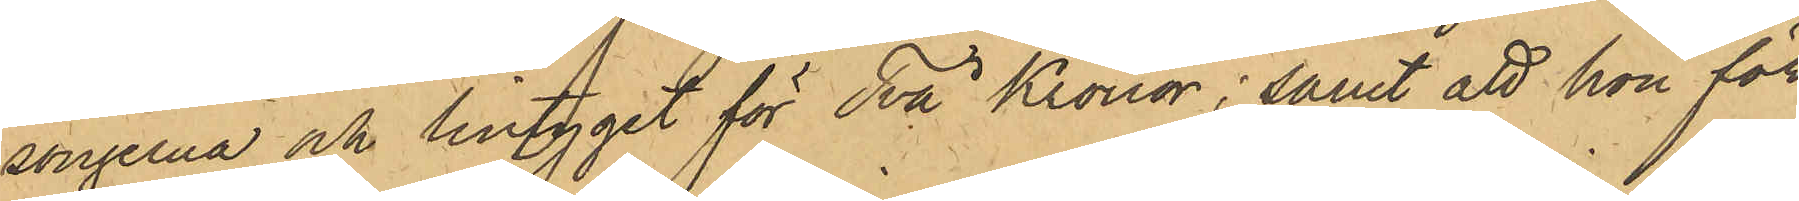songerna och lintyget för Två Kronor; samt att hon för
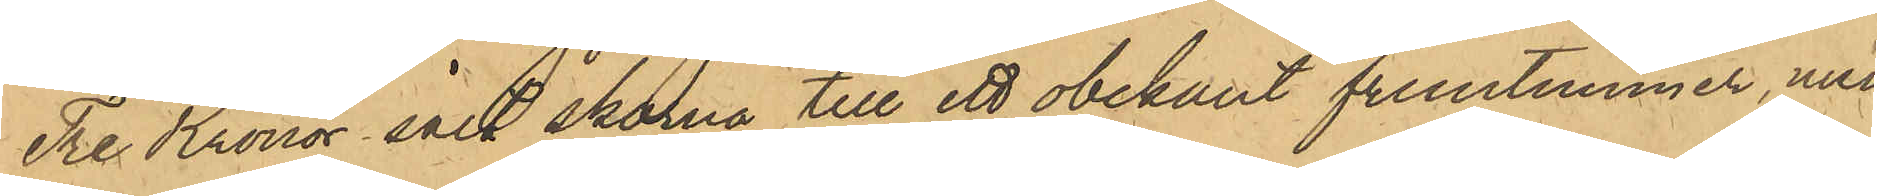Tre Kronor sålt skorna till ett obekant fruntimmer, mun
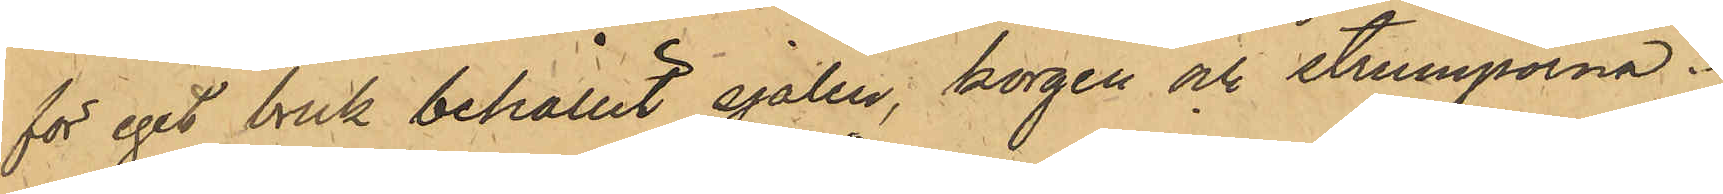för eget bruk behållit sjalen, korgen och strumporna.
